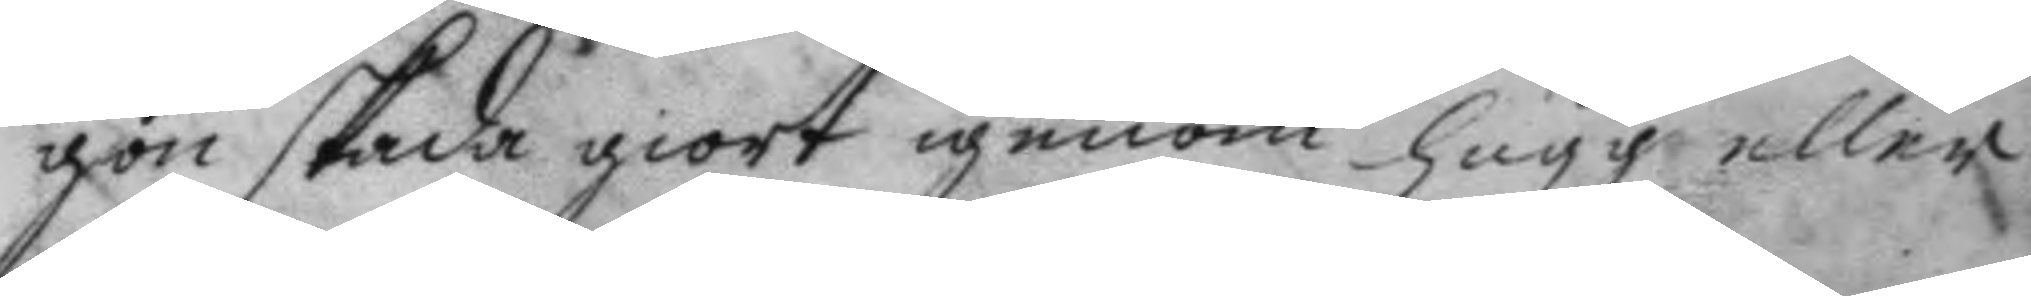gon skada giort igenom hugg eller
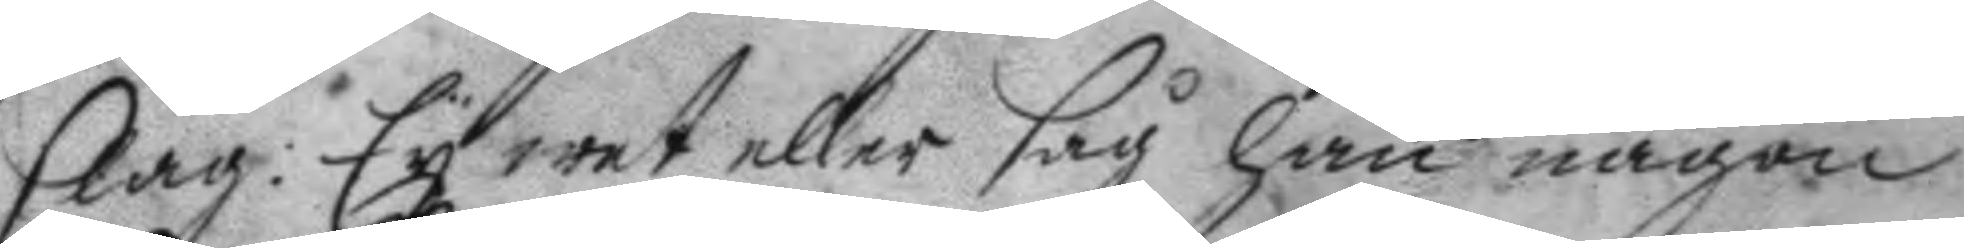slag: Ey wet eller såg han någon
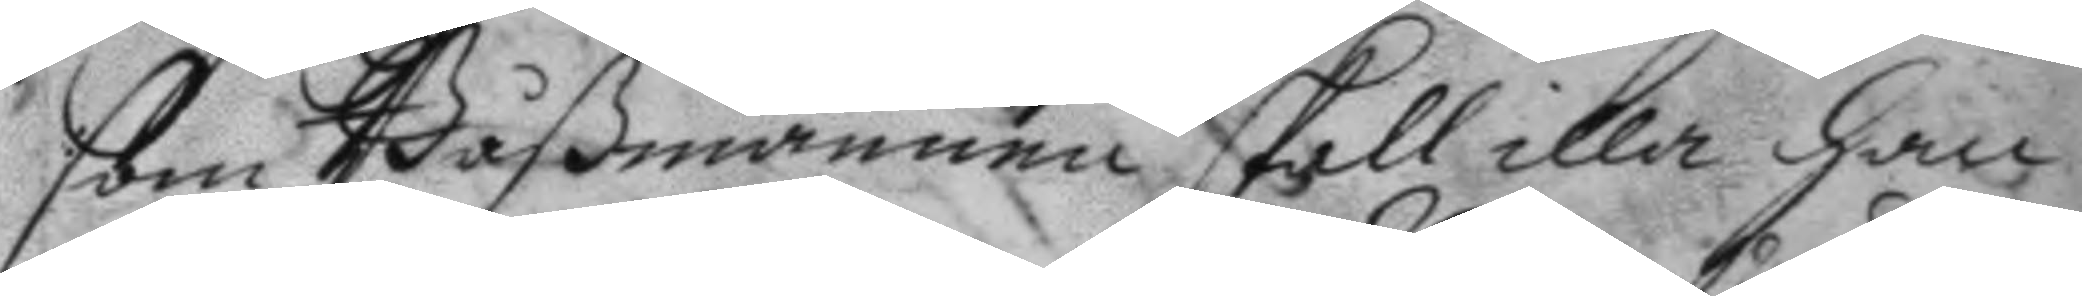som Båßmannen skall illa han¬
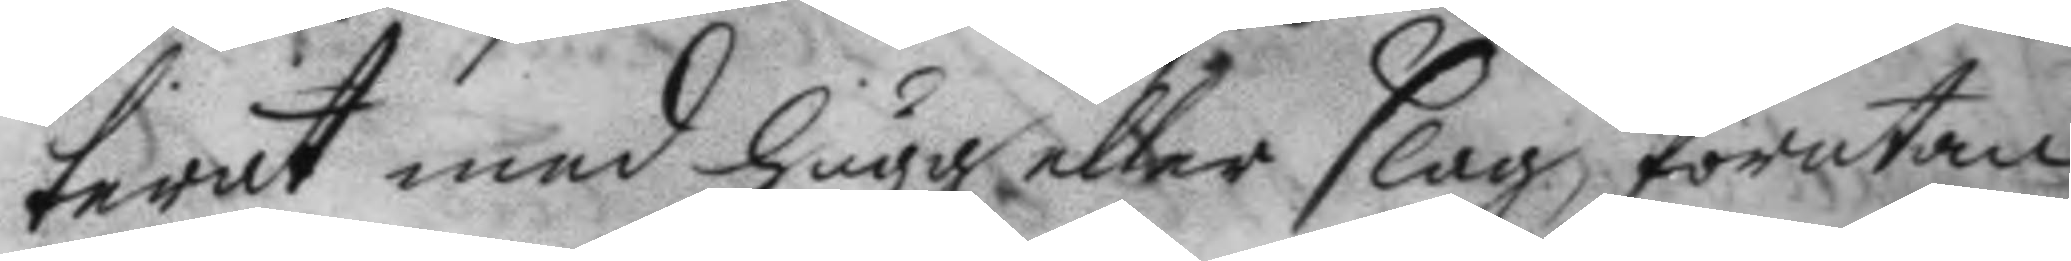terat med hugg eller slag, förutan
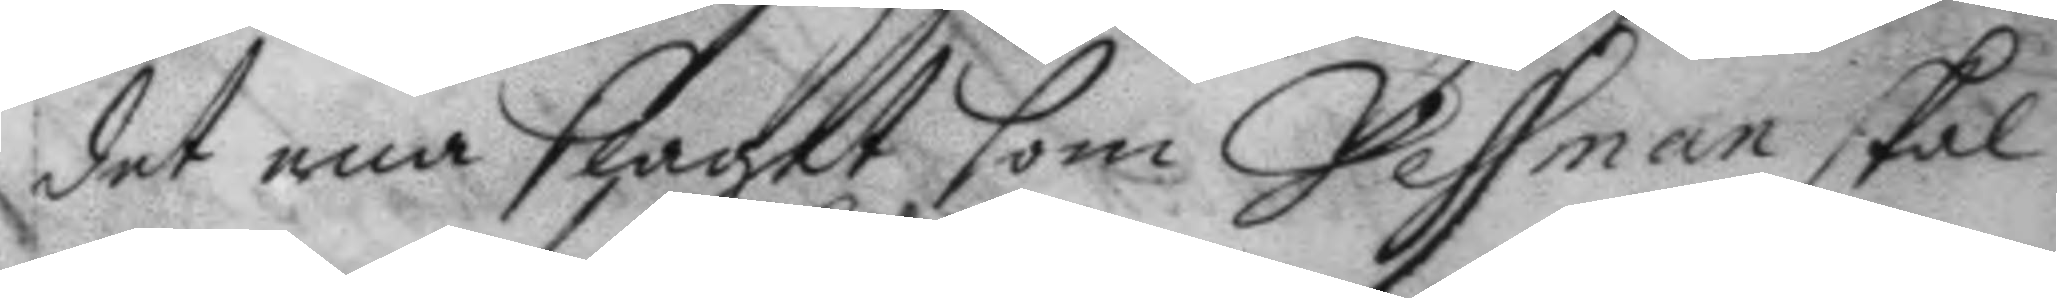det ena slaget som Vessman skal
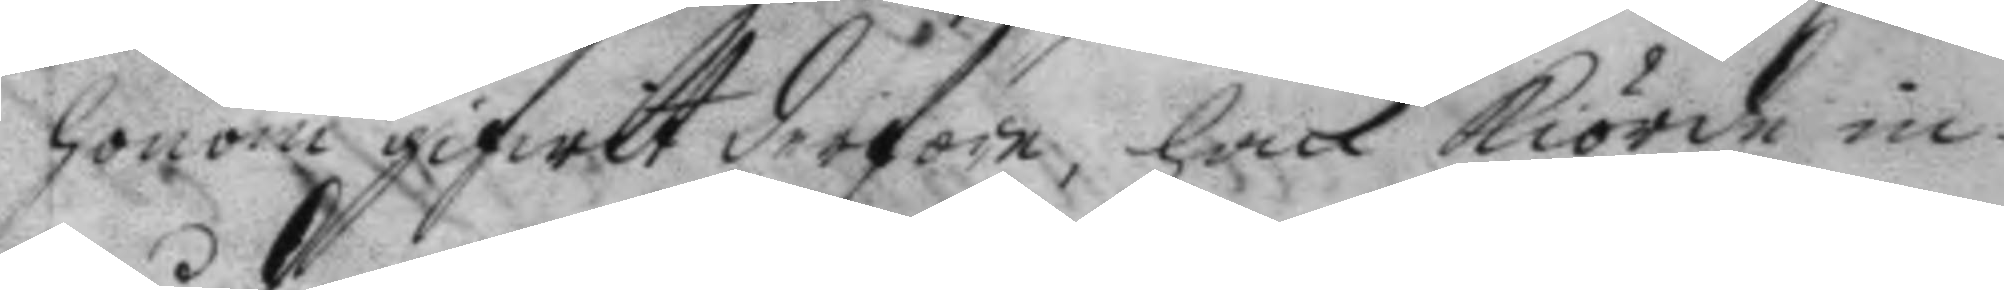honom gifwit derföre, han kiörde in¬
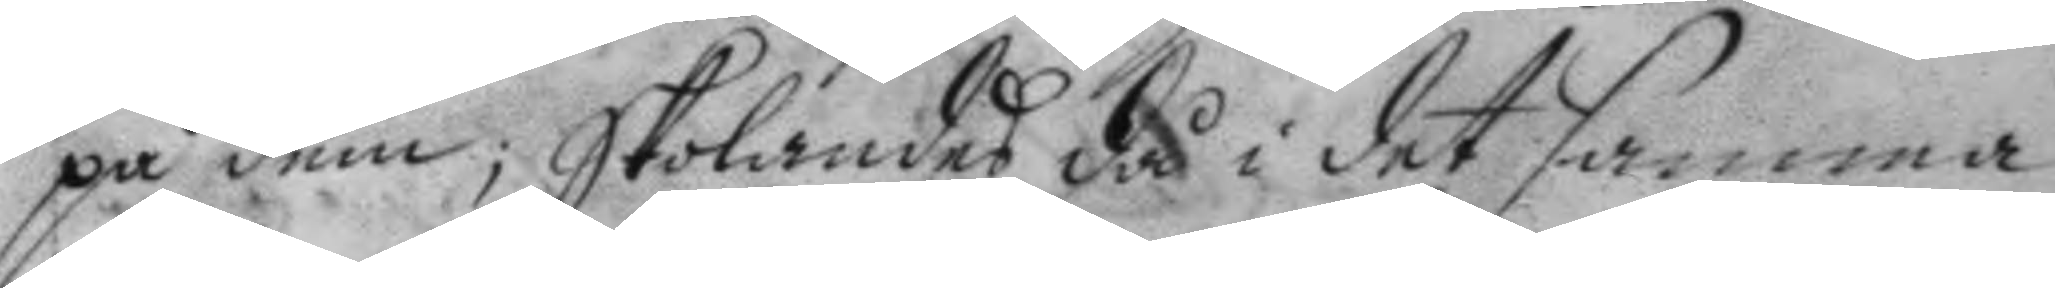på dem; Skolandes då i det samma
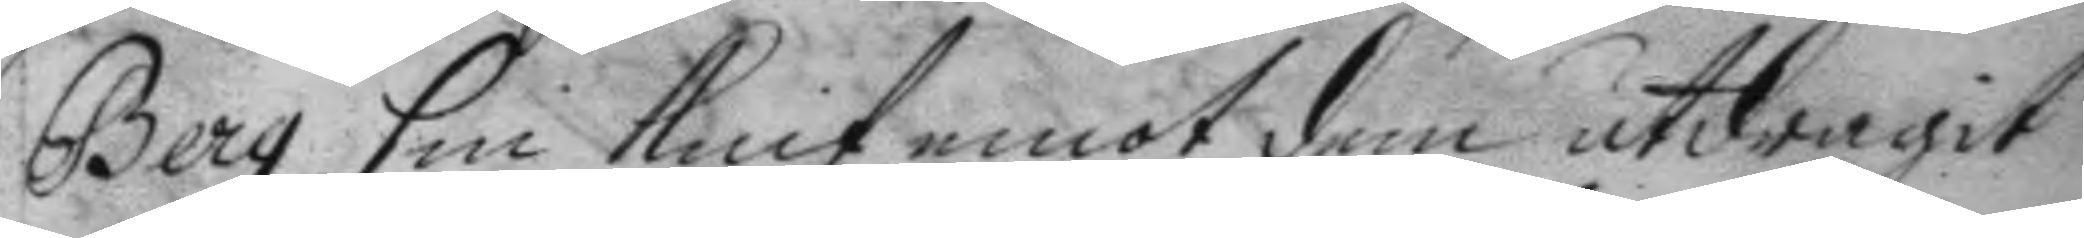Berg sin knif emot dem utdragit
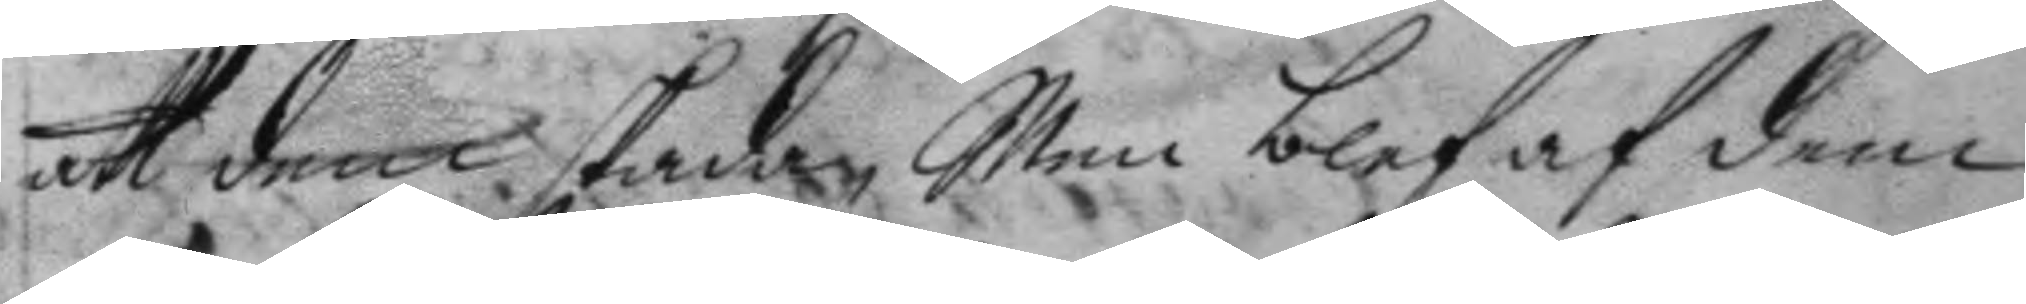att dem skada, Men blef af dem
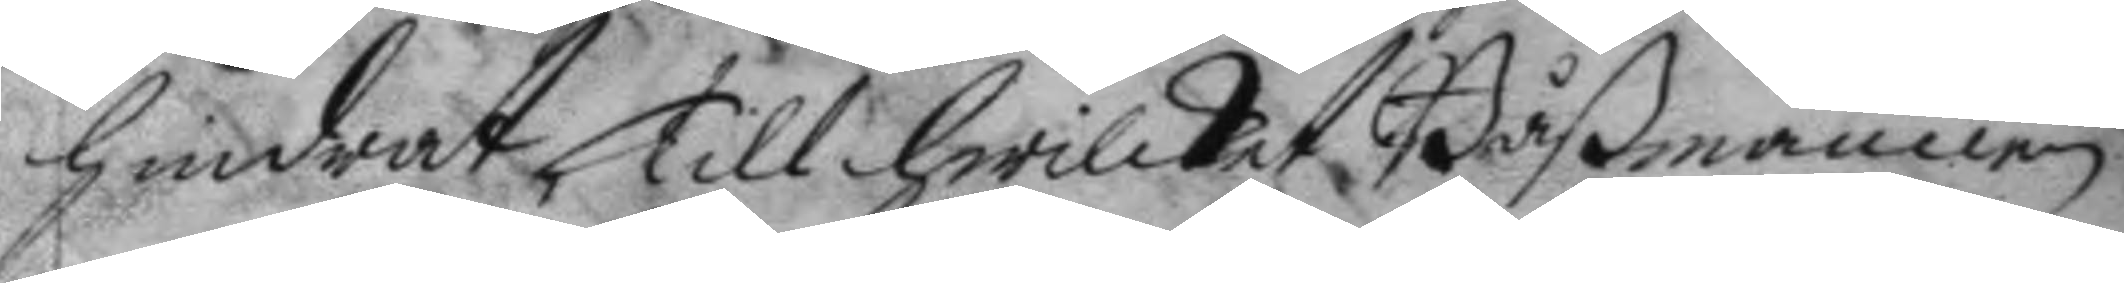hindrat, till hwilket Båßmannen
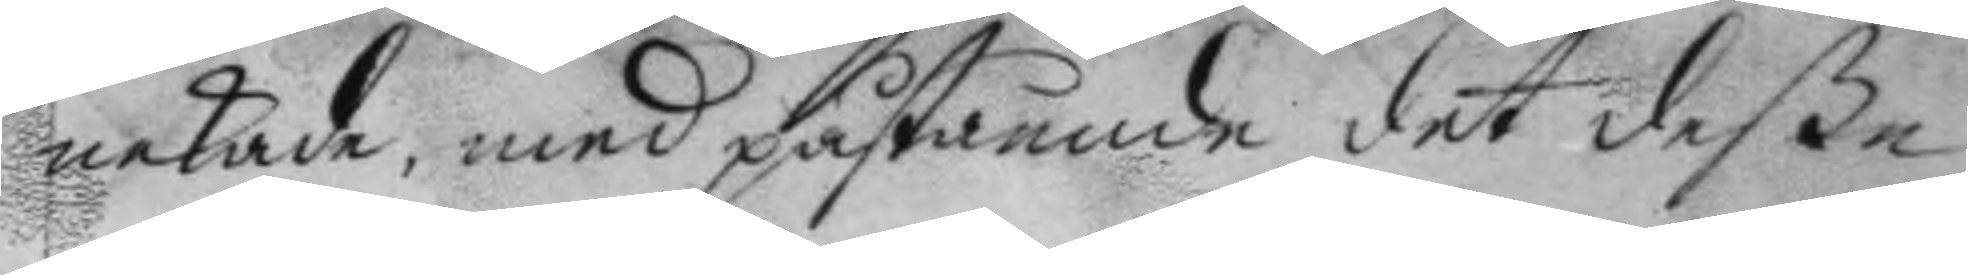nekade, med påstående det deße
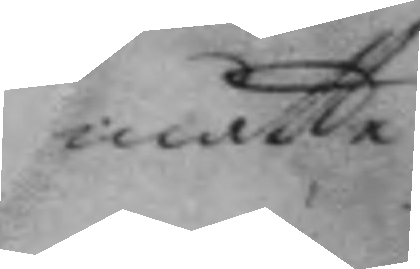måtte
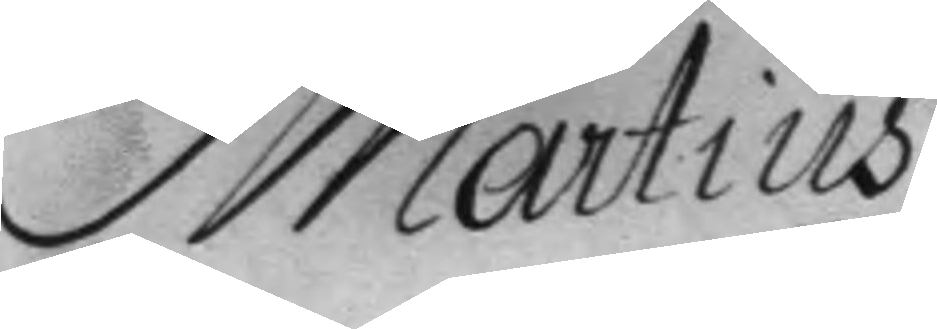Martius
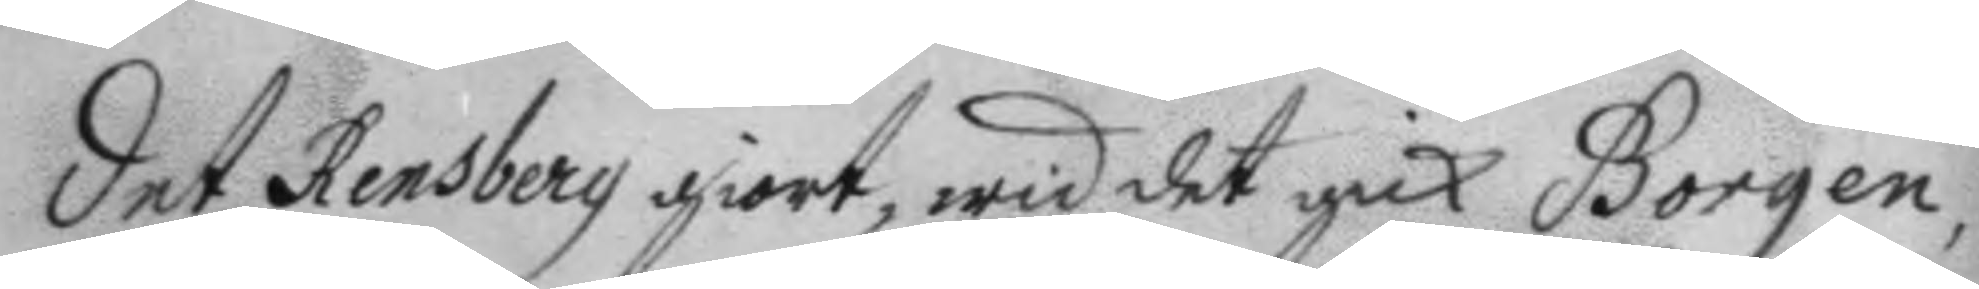det Rensberg giort, wid det gick Borgen,
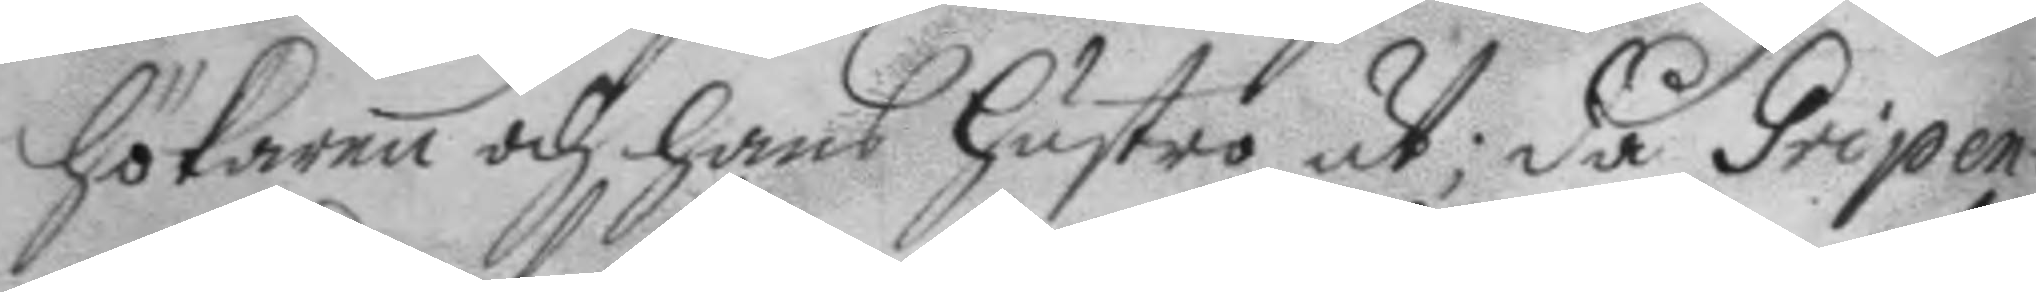hökaren och hans hustro ut; då Gripen¬
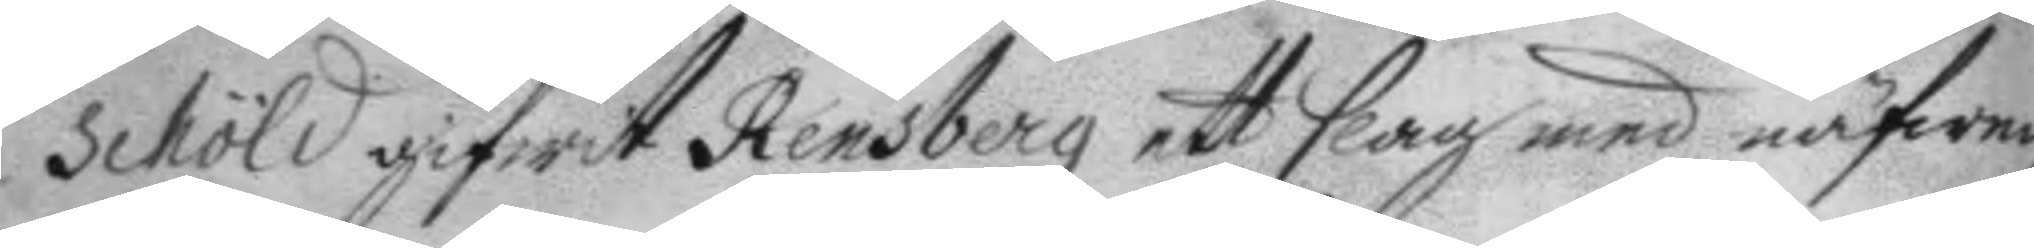schöld gifwit Rensberg ett slag med näfwen,
